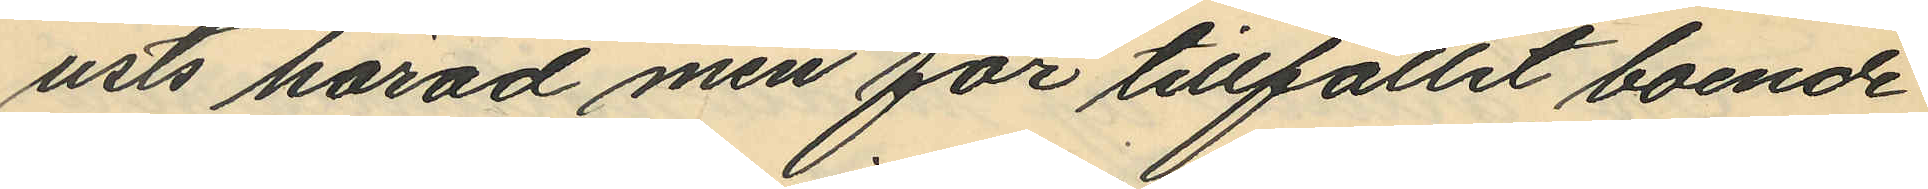usts härad men för tillfället boende
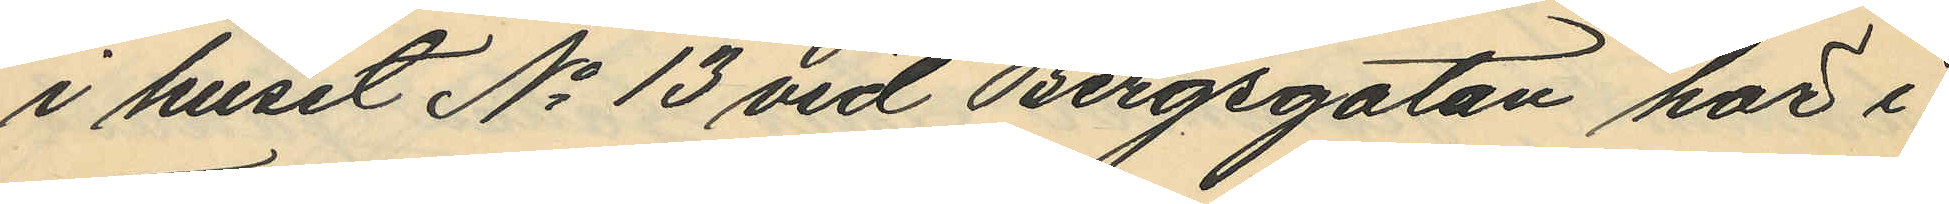i huset No 13 vid Bergsgatan här i
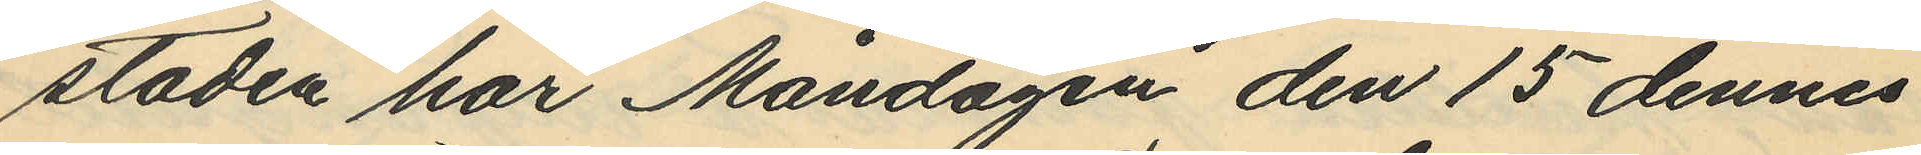staden har Måndagen den 15 dennes
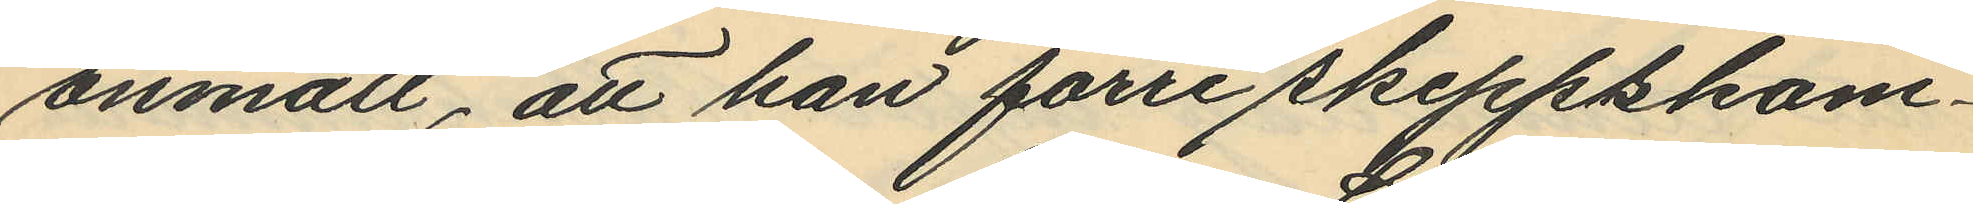anmält, att han förre skeppskam¬
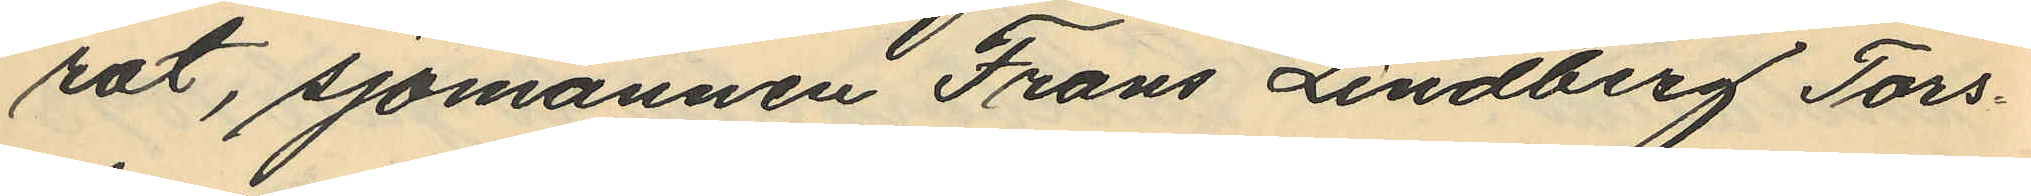rat, sjömannen Frans Lindberg Tors¬
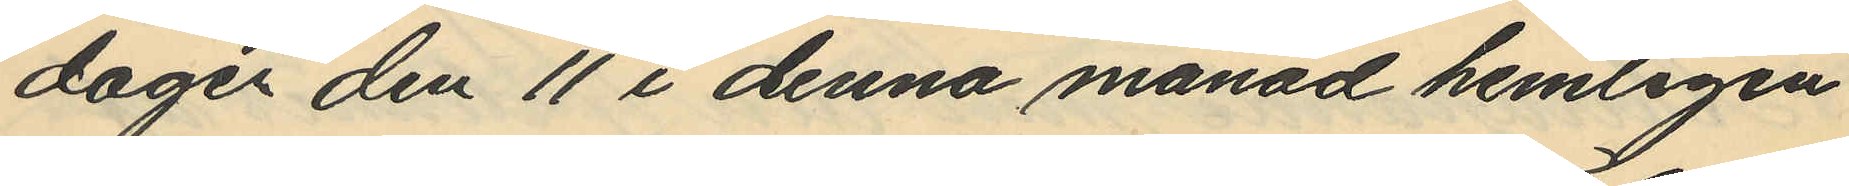dagen den 11 i denna månad hemligen
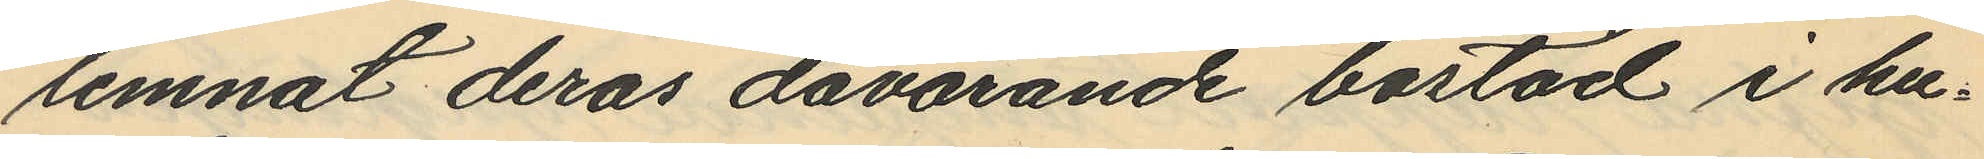lemnat deras dåvarande bostad i hu¬
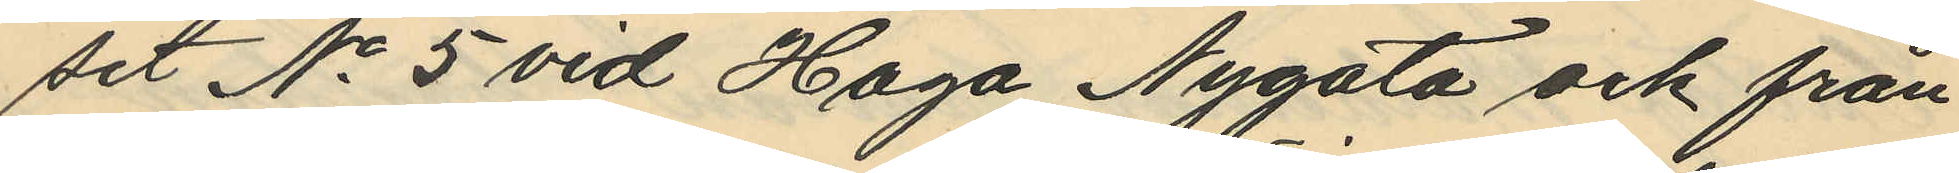set No 5 vid Haga Nygata och från
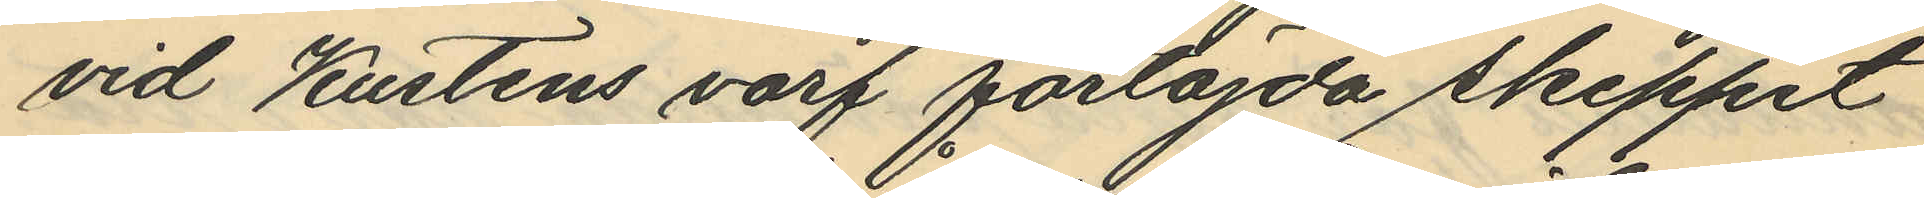vid Kustens varf förtöjda skeppet
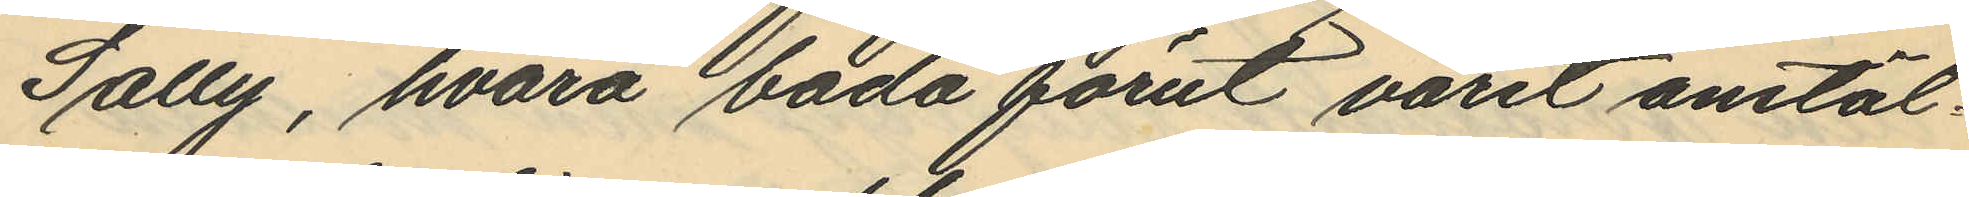Sally, hvarå båda förut varit anstäl¬
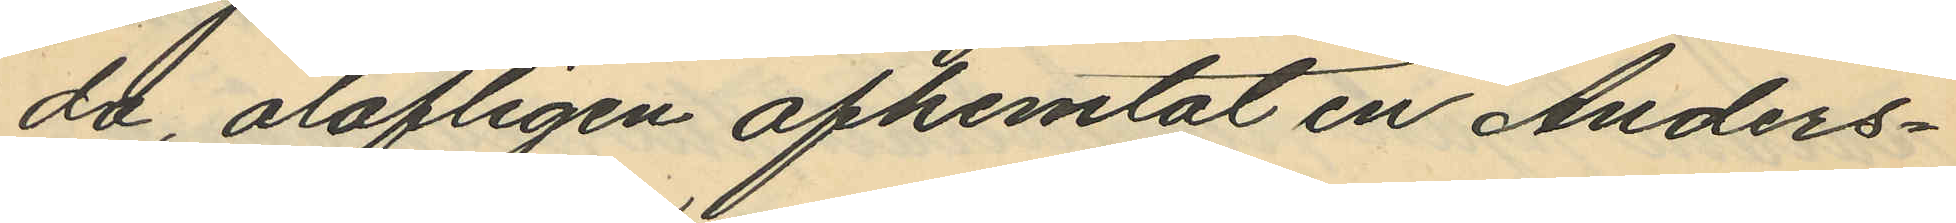da, olofligen afhemtat en Anders¬
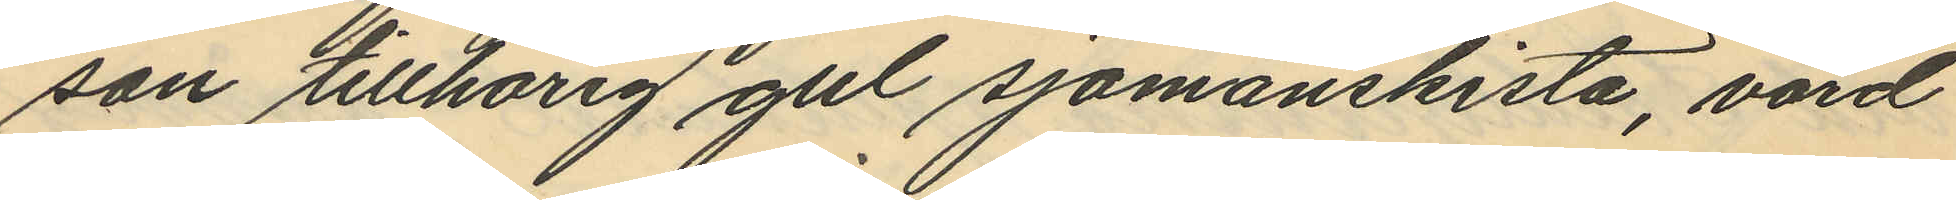son tillhörig gul sjömanskista, värd
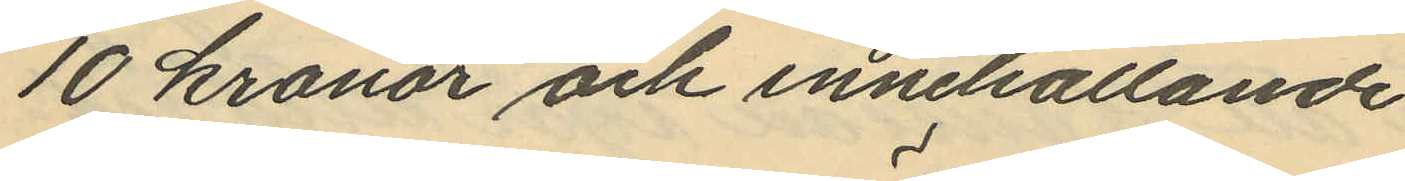10 kronor och innehållande
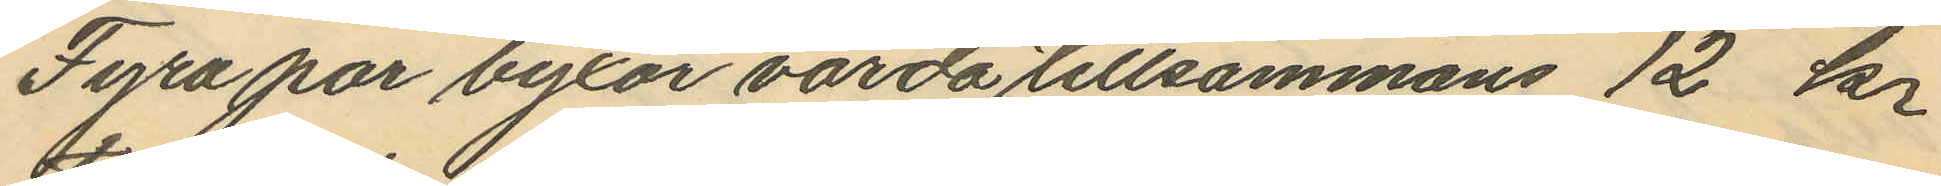Fyra par byxor värda tillsammans 12 kr
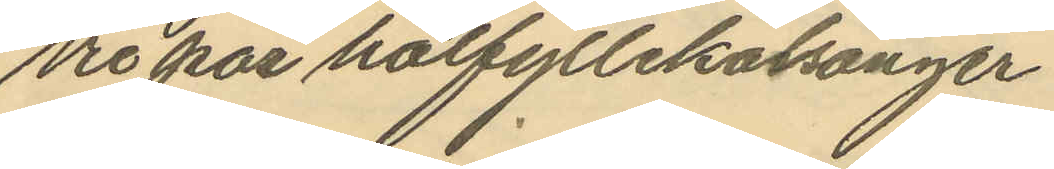Tio par halfyllekalsonger
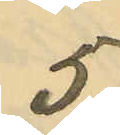5 
